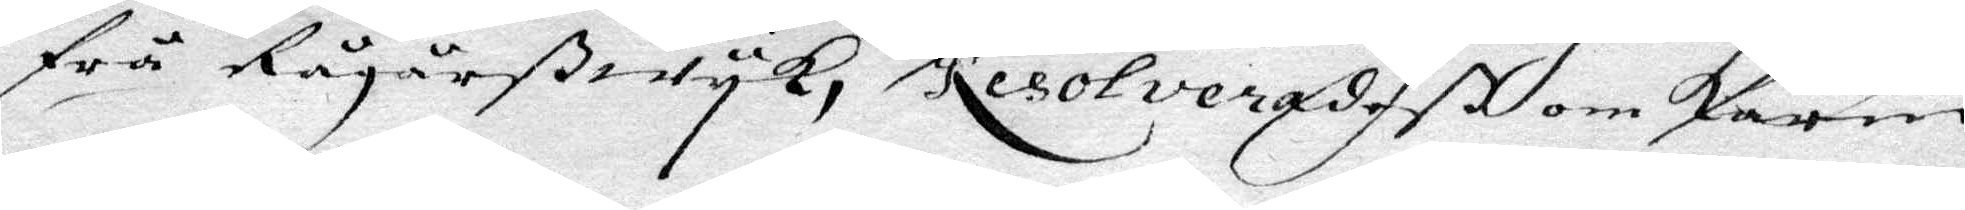frå Rågårßwyk, Resolveradeß om Karin
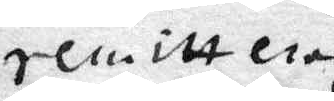remitteras
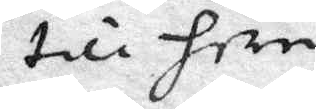till heradz¬
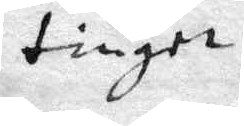tinget.
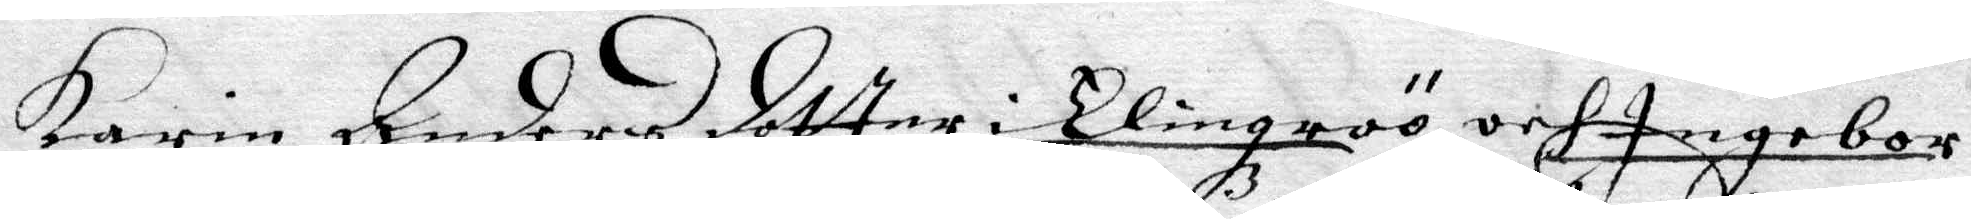Karin Andersdotter i Elingröö och Ingebor
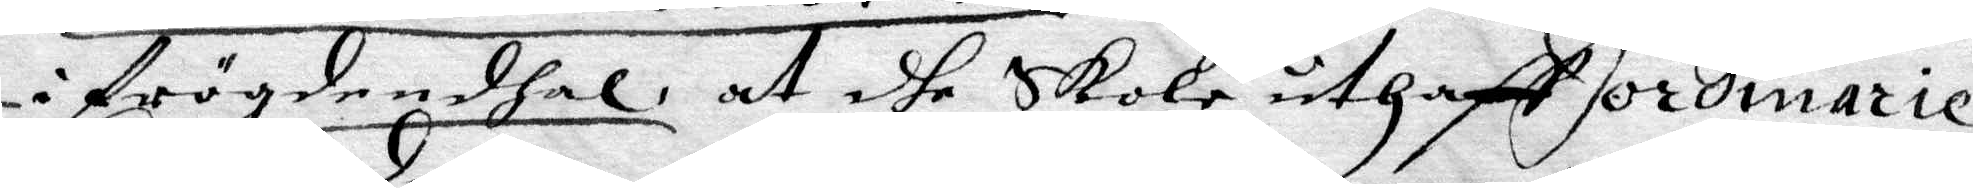i Frögdendahl, at dhe Skola uthaff ordinarie
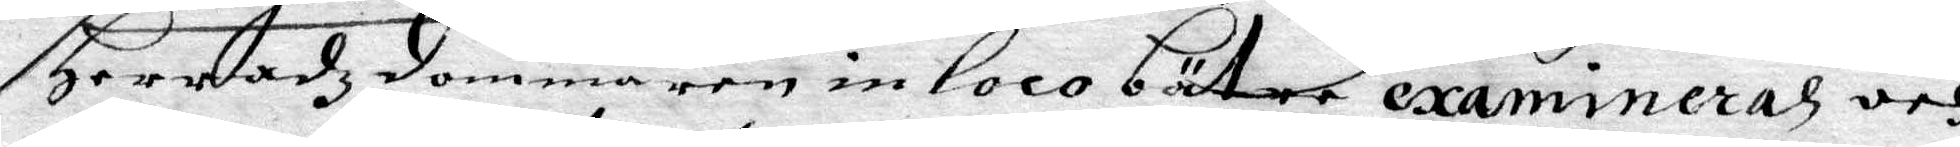Heradzdomaren in loco bätre examineras och
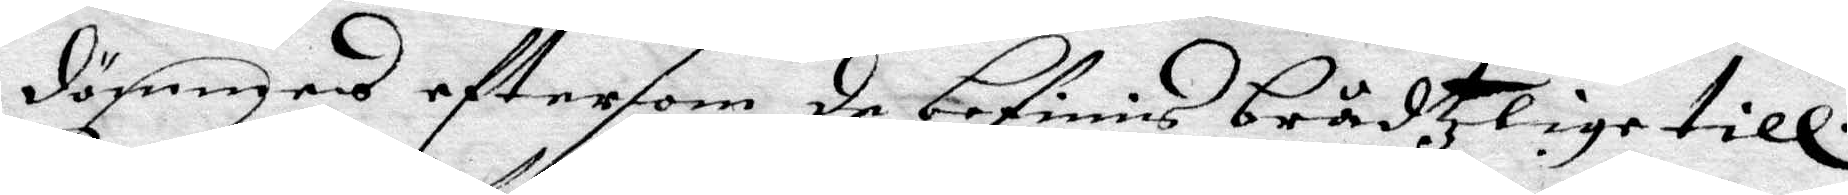dömmas eftersom de befinnis brådtzlige till.
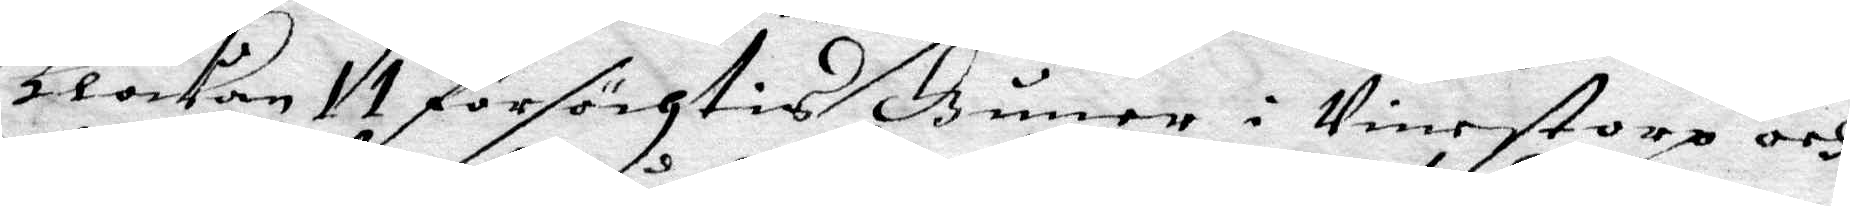Klockan 11 forsögtis Guner i Vinestorp och
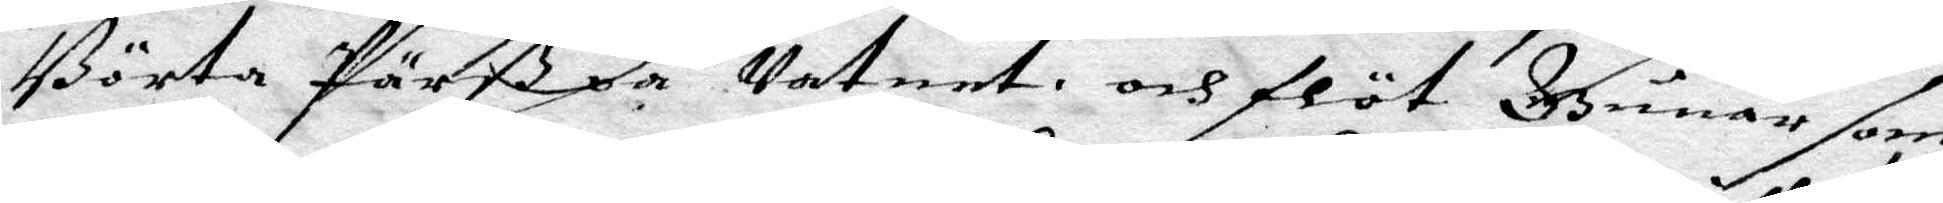Börta Pärß på Vatnet och flöt Gunar som
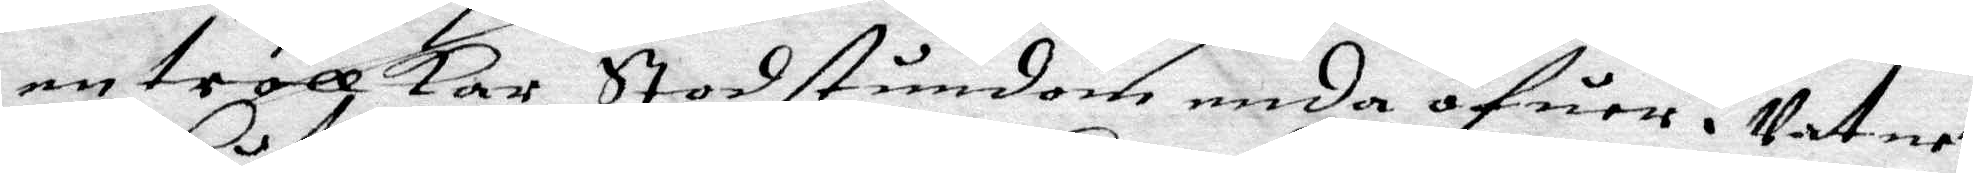en trollkar Stod stundom enda öfuer i Vatnet
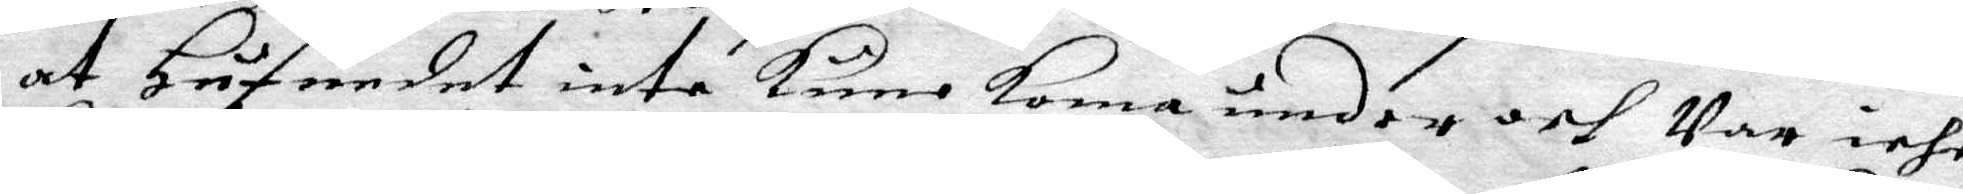at Hufudet inte kune koma under och Var icke
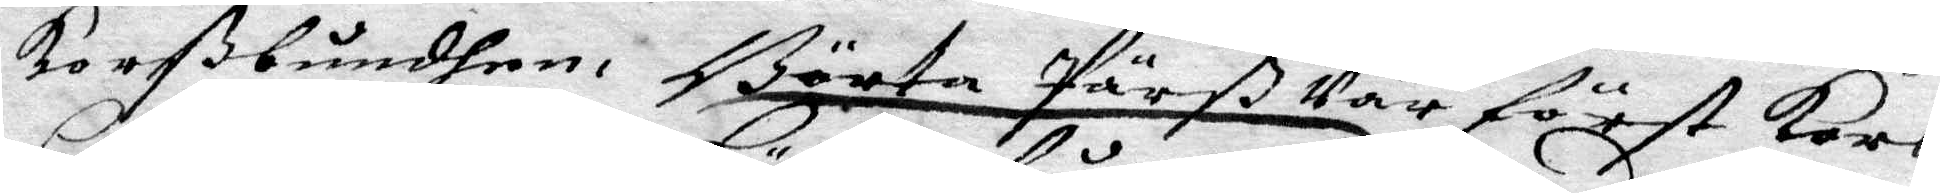korßbunden, Börta Pärß Var först kors¬
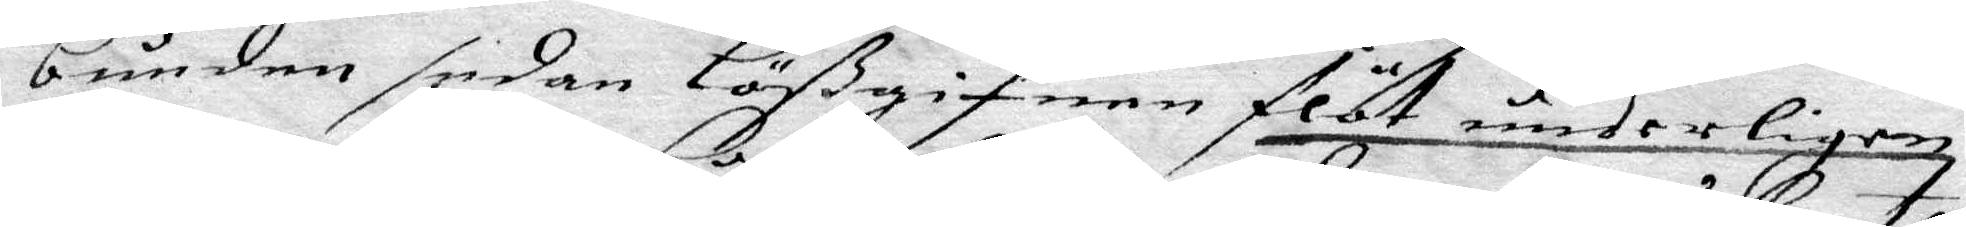bunden sedan Lößgifuen flöt underligen,
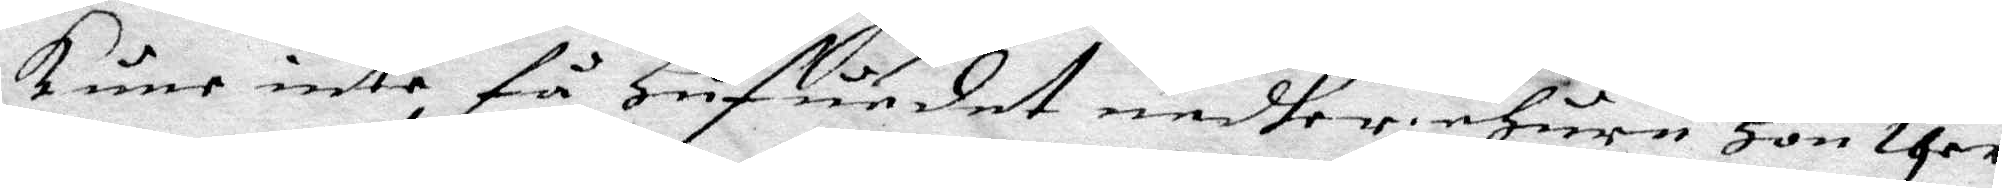kune icke få Hufudet nedher ehuru Hon ther¬
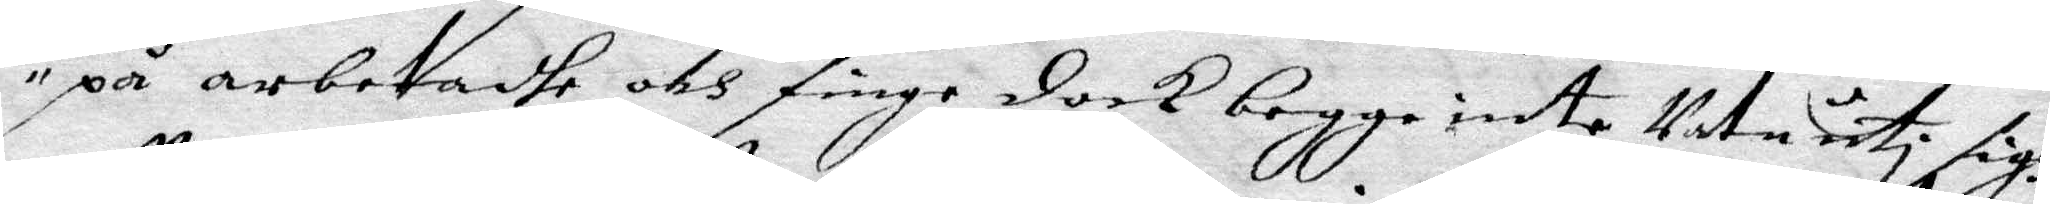på arbetadhe och fingo dock begge inte Utan uti sigh,
